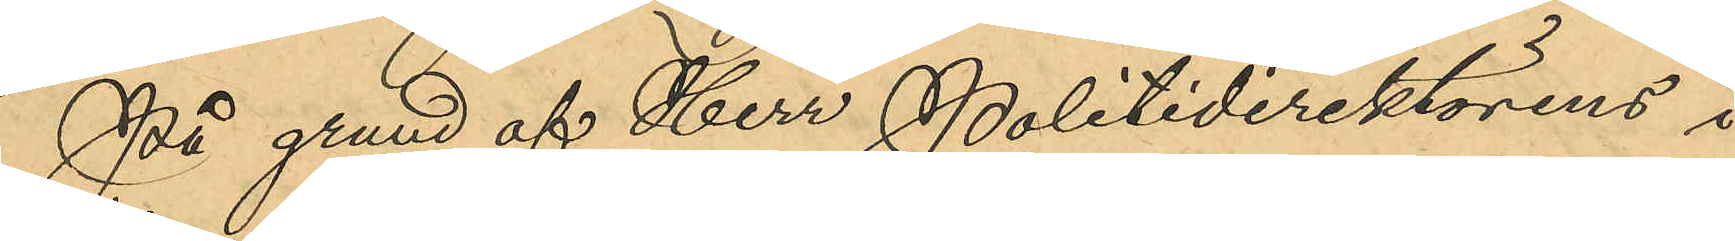På grund af Herr Politidirektörens i
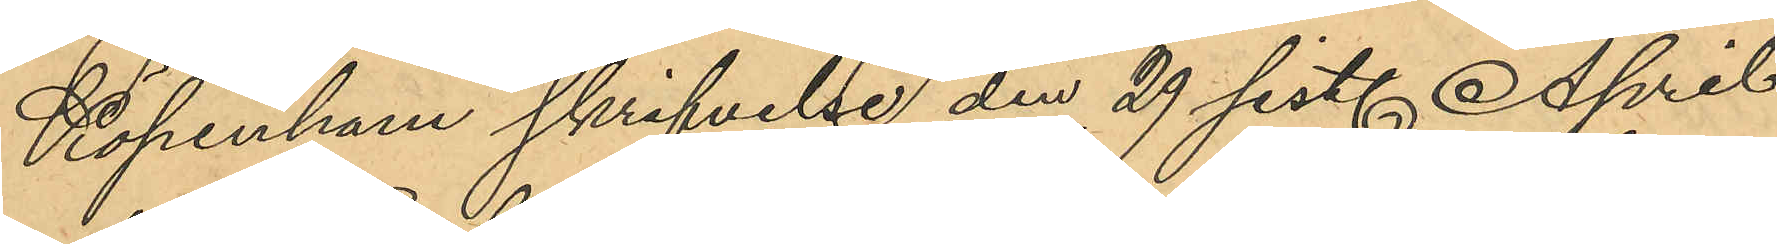Köpenham skrifvelse den 29 sist. April
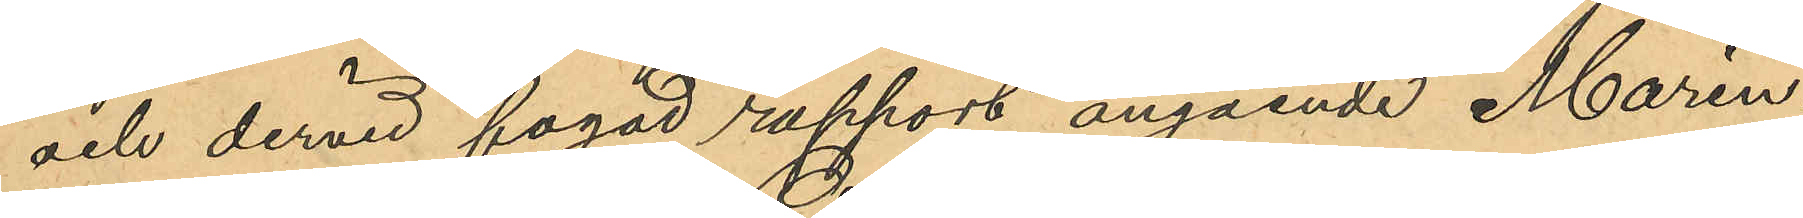och dervid fogad rapport angående Marin¬
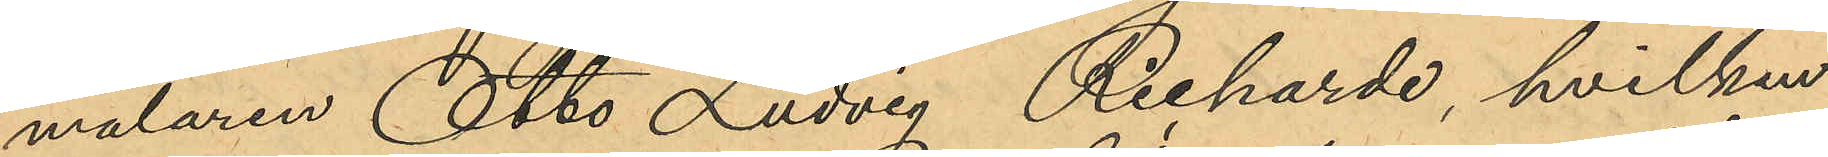målaren Otto Ludvig Richarde, hvilken
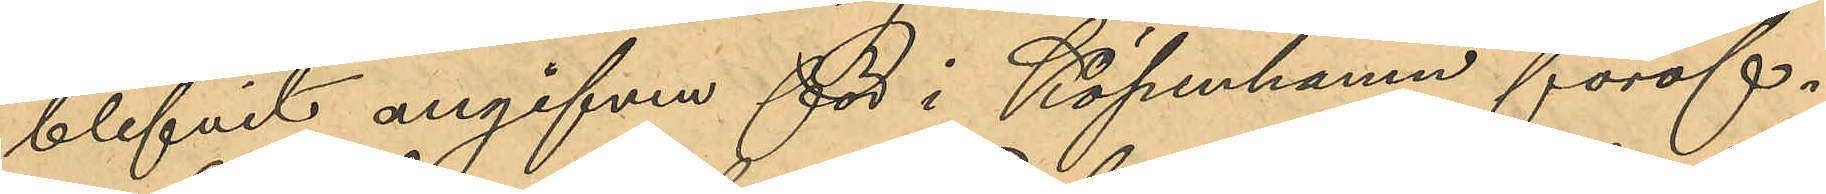blifvit angifven för i Köpenhamn föröf¬
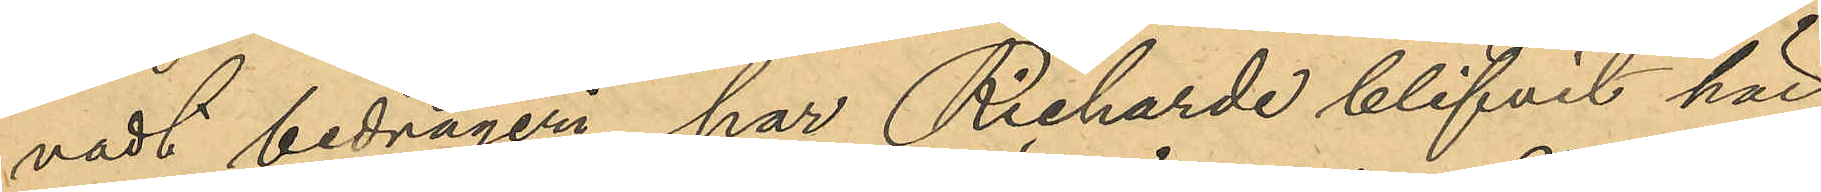vadt bedrägeri, har Richarde blifvit här
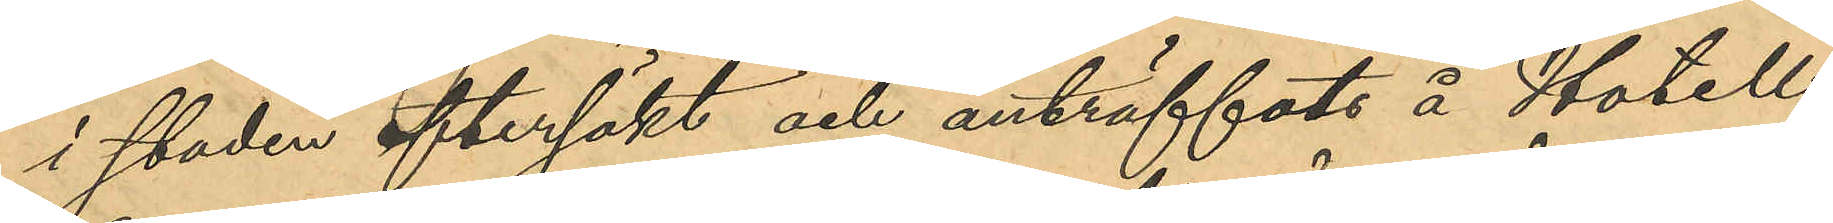i staden eftersökt och anträffats å Hotell
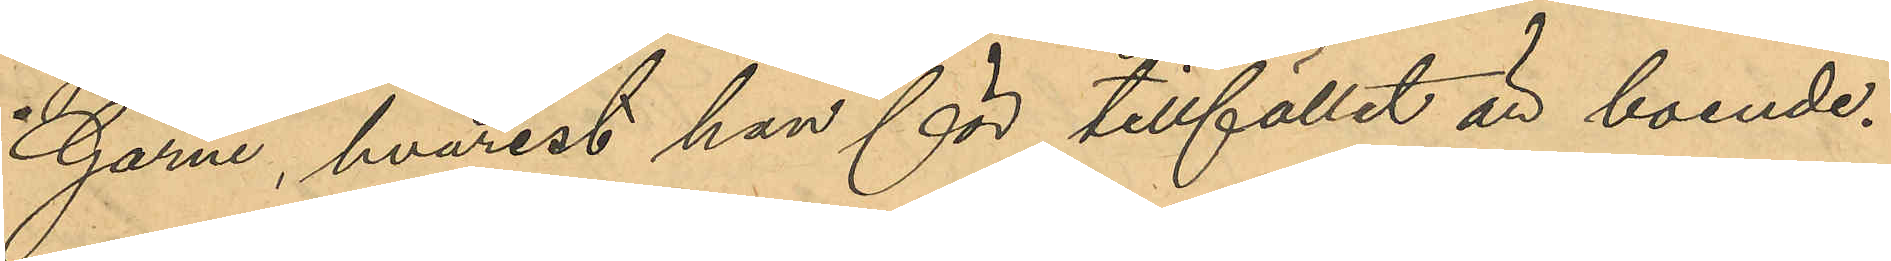Garni, hvarest han för tillfället är boende.
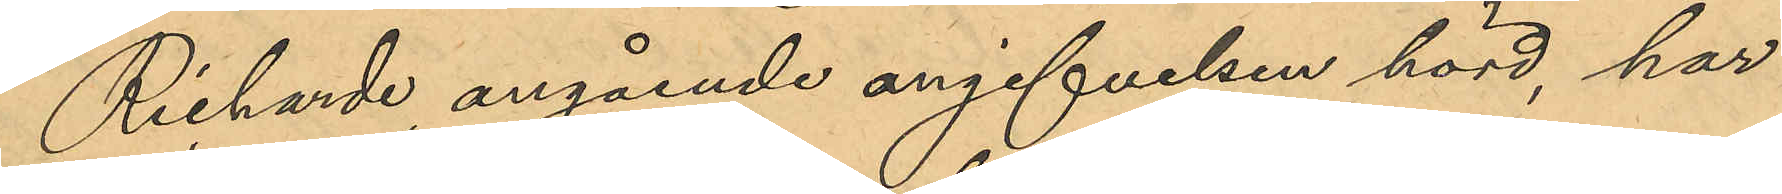Richarde, angående angifvelsen hörd, har
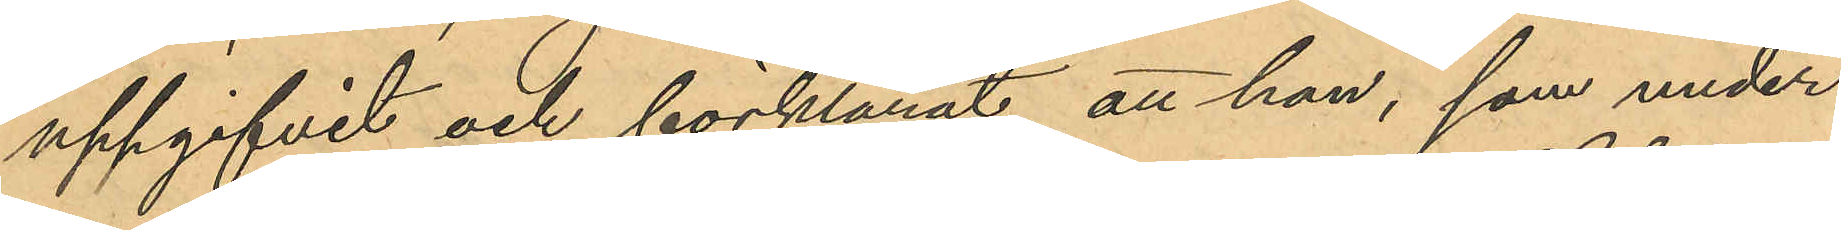uppgifvit och förklarat att han, som under
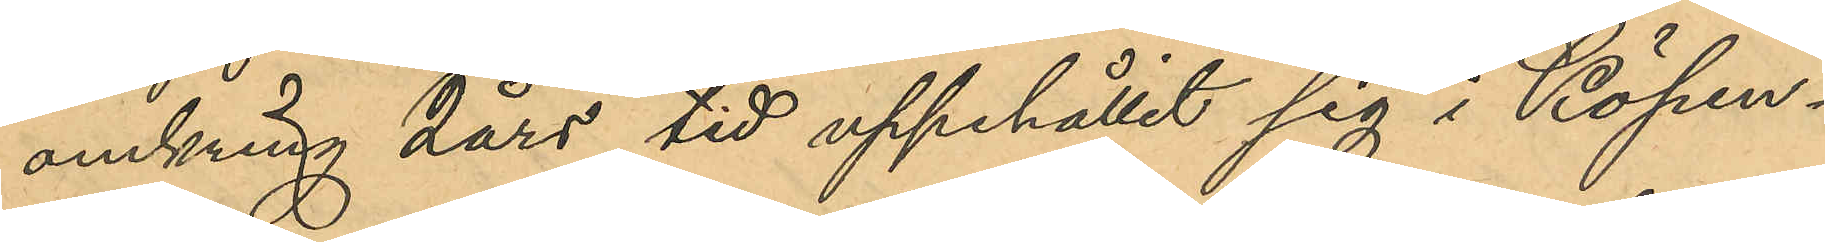omkring 2 års tid uppehållit sig i Köpen¬
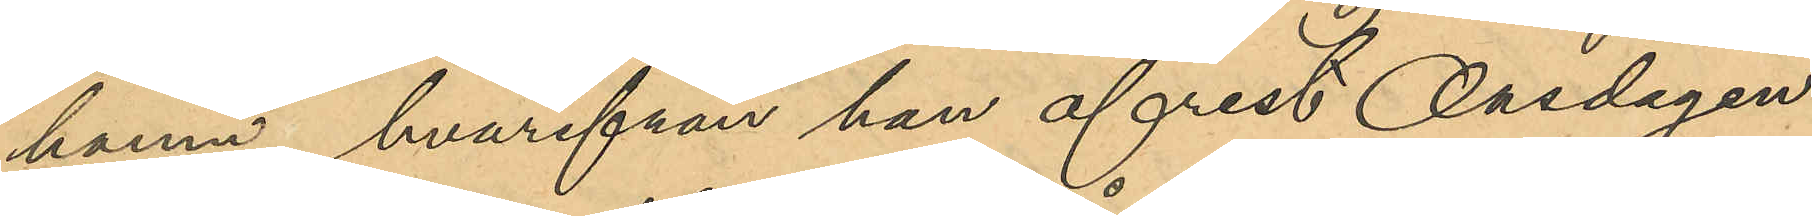hamn, hvarifrån han afrest Onsdagen
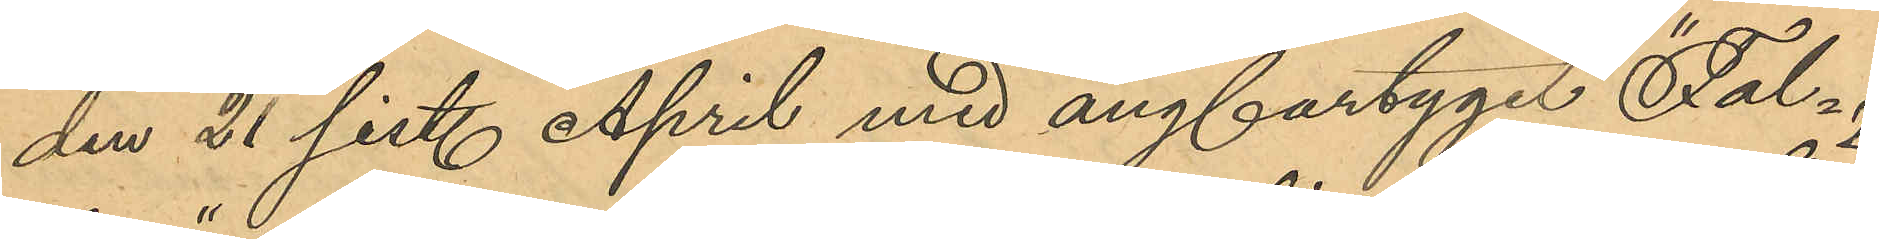den 21 sist. April med ångfartyget "Fal¬
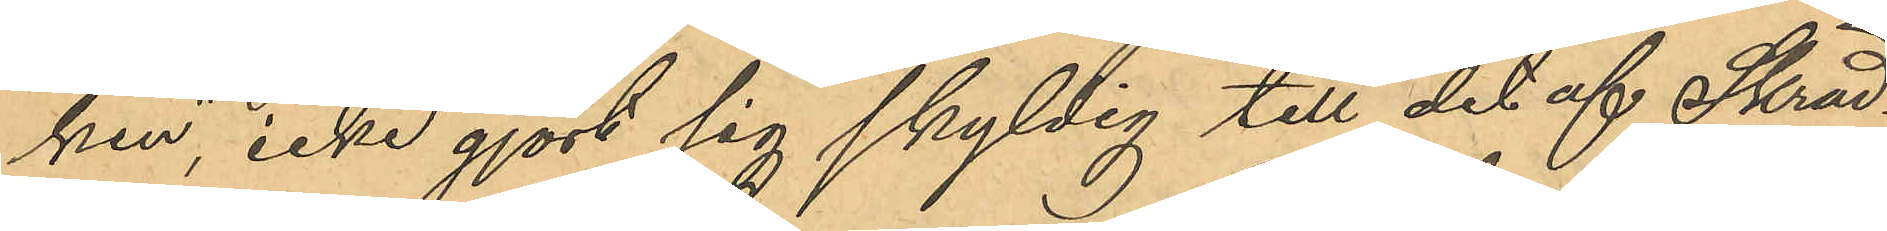ken", icke gjort sig skyldig till det af Skräd¬
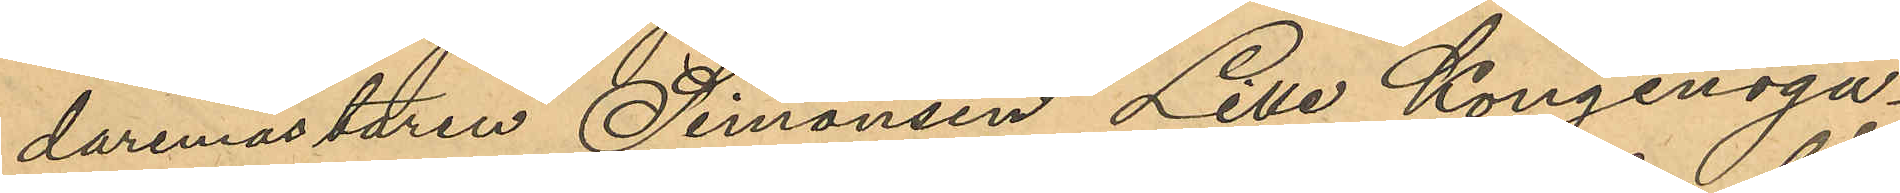daremästaren Simonsen Lille Kongensga¬
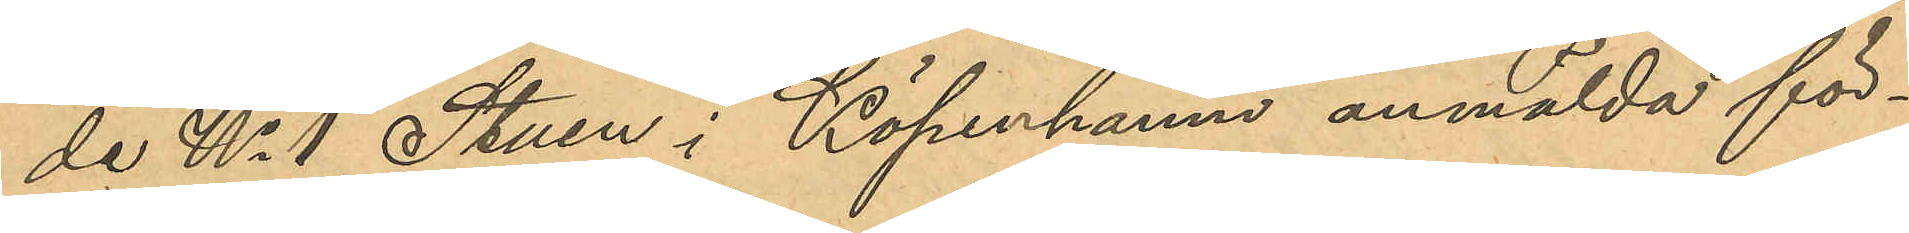de No 1 Stuen i Köpenhamn anmälda för¬
